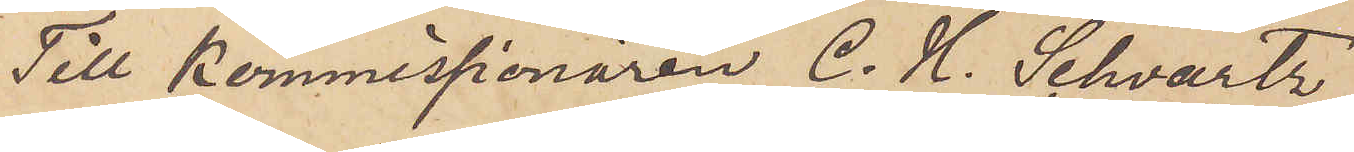Till Kommissionären C. H. Schvartz
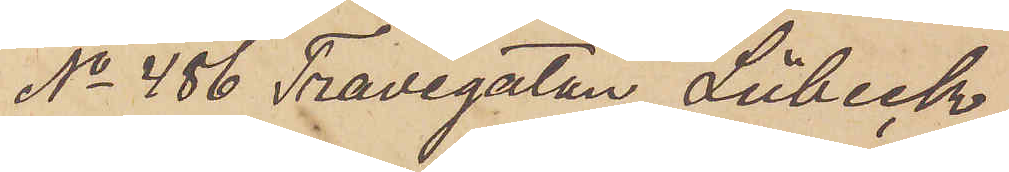No 486 Travegatan Lübeck.
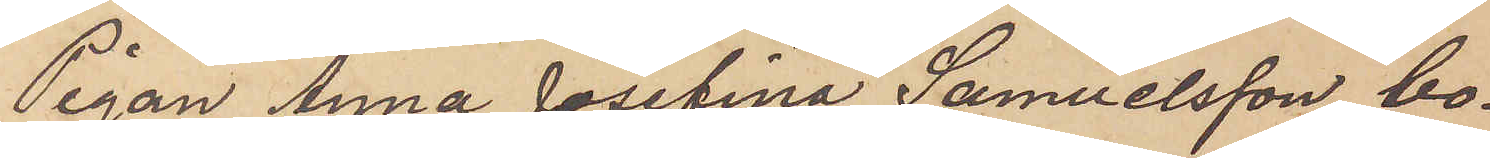Pigan Anna Josefina Samuelsson, bo¬
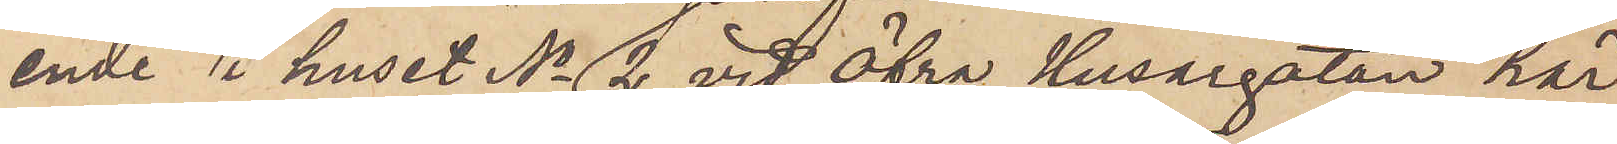ende i huset No 2 vid Öfra Husargatan här
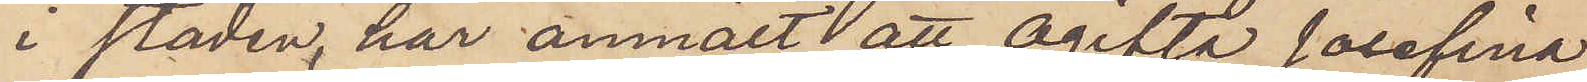i staden, har anmält, att Ogifta Josefina
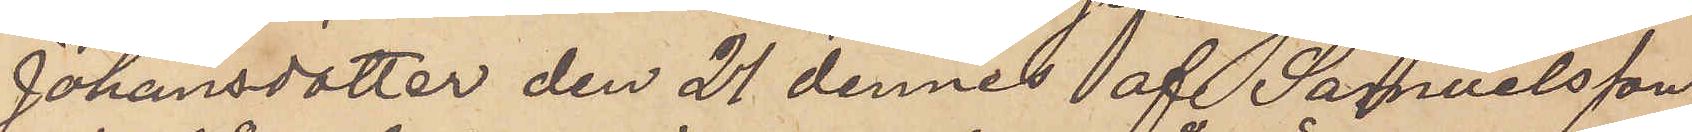Johansdotter den 21 dennes af Samuelsson
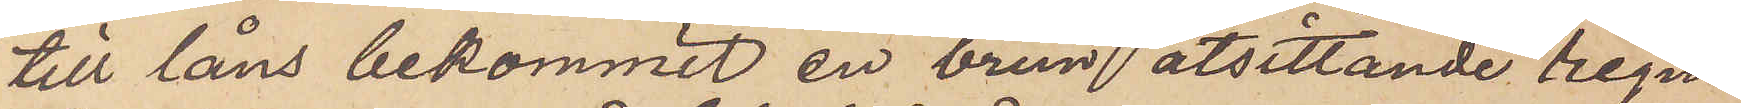till låns bekommit en brun åtsittande regn¬
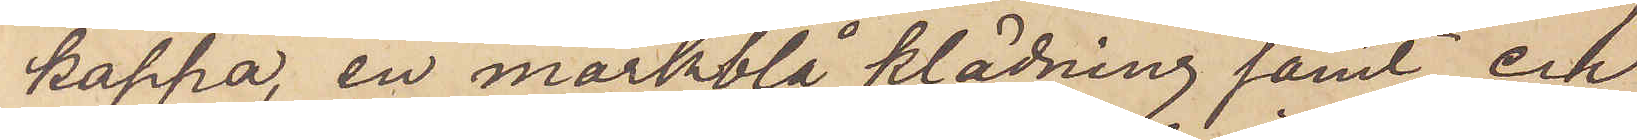kappa, en mörkblå klädning samt en
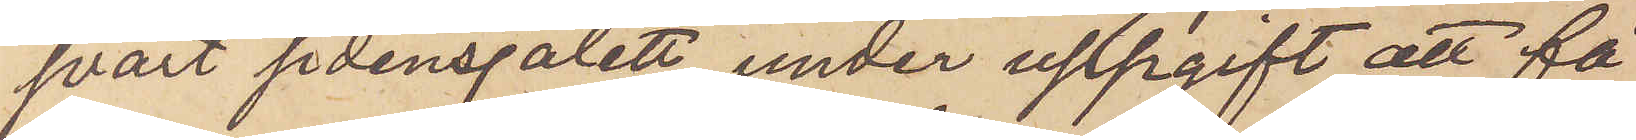svart sidensjalett, under uppgift att få
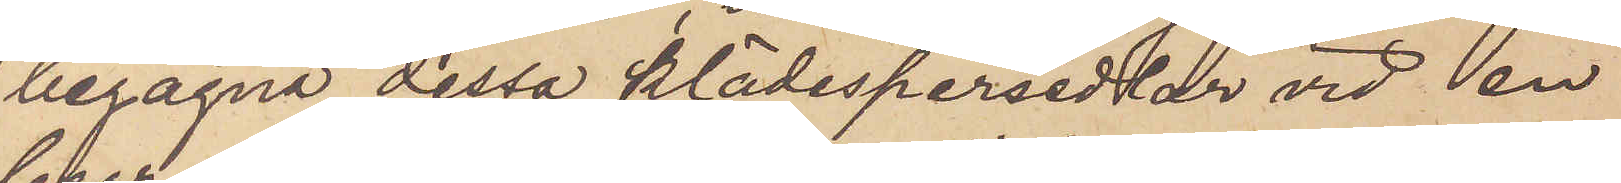begagna dessa klädespersedlar vid en
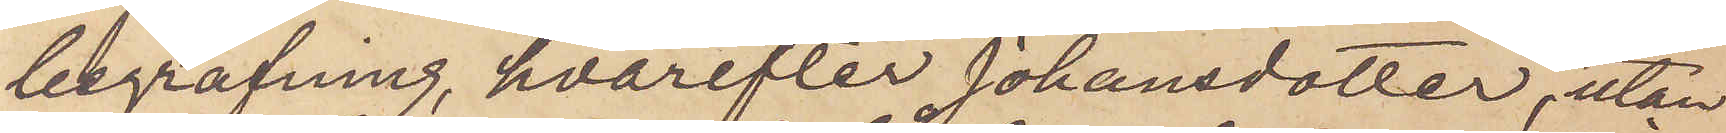begrafning, hvarefter Johansdotter, utan
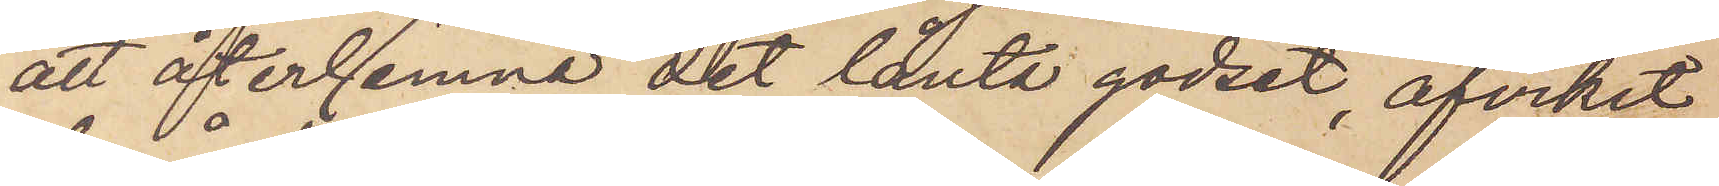att återlemna det lånta godset, afvikit
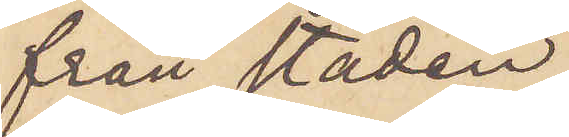från staden.
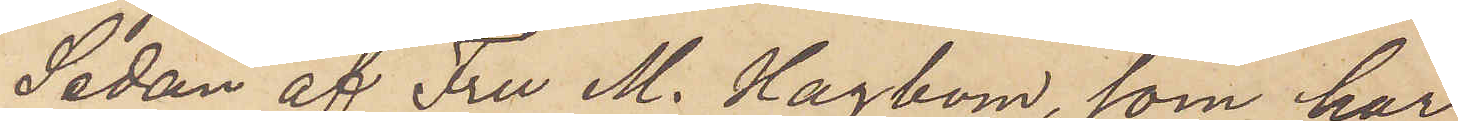Sedan af Fru M. Hagbom, som har
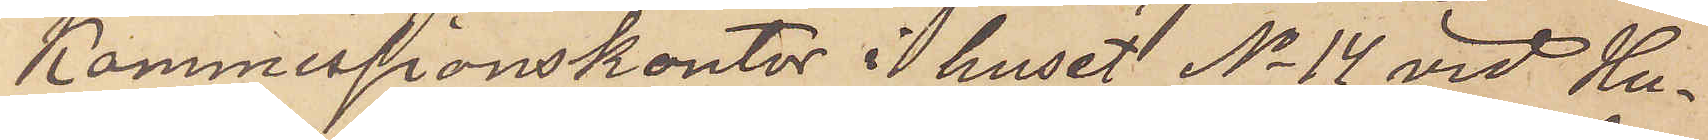Kommissionskontor i huset No 14 vid Hu¬
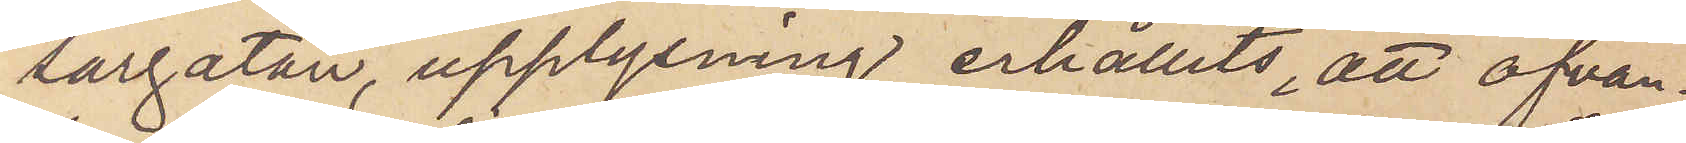sargatan, upplysning erhållits, att ofvan¬
